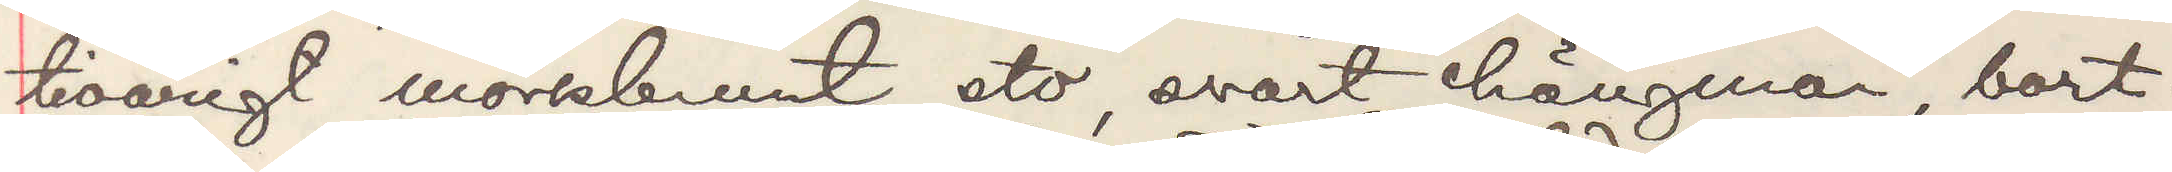tioårigt mörkbrunt sto, svart hängman, bort¬
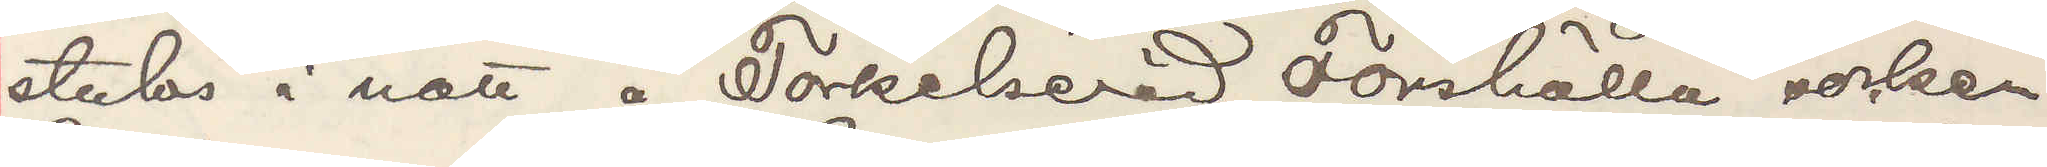stulos i natt å Torkelseröd, Torshälla socken.
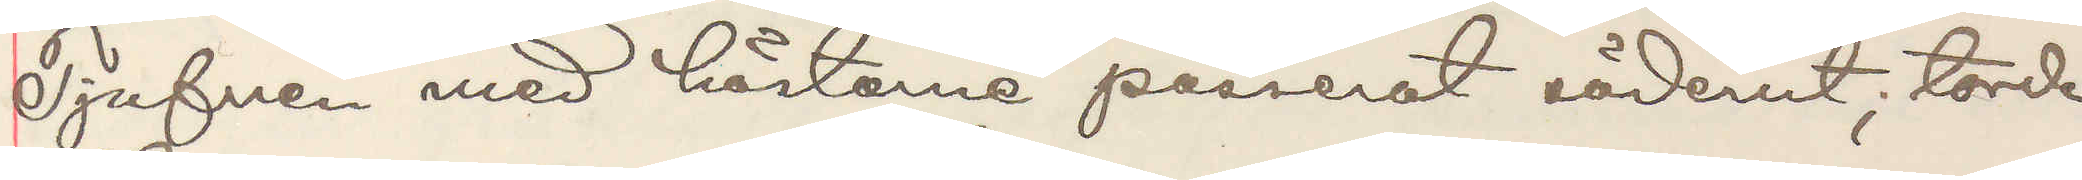Tjufven med hästarne passerat söderut; torde
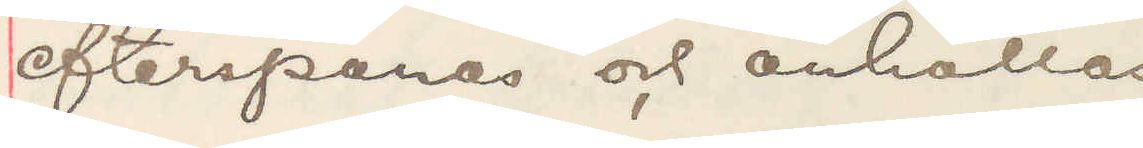efterspanas och anhållas
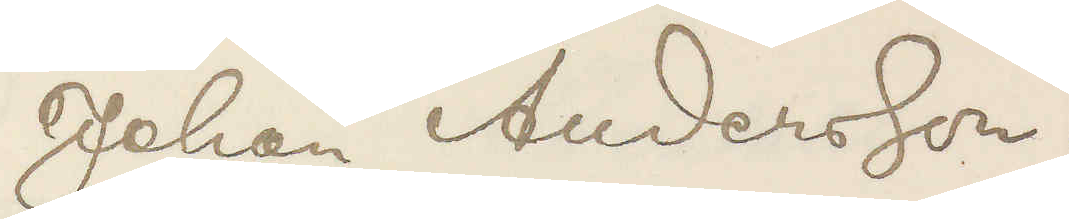Johan Andersson.
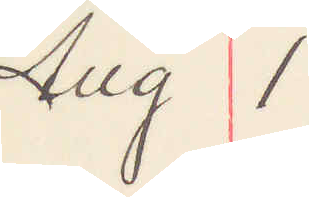Aug 1
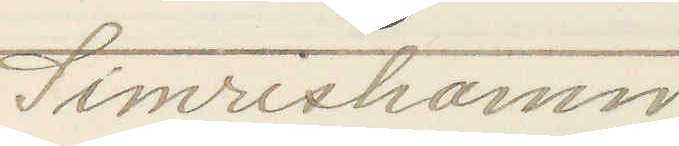Simrishamn
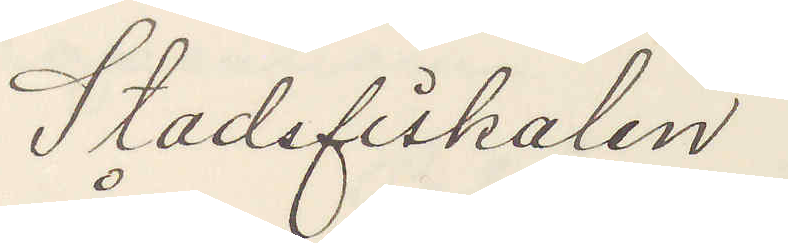Stadsfiskalen
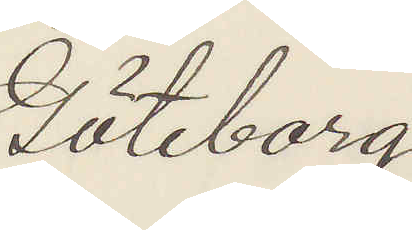Göteborg
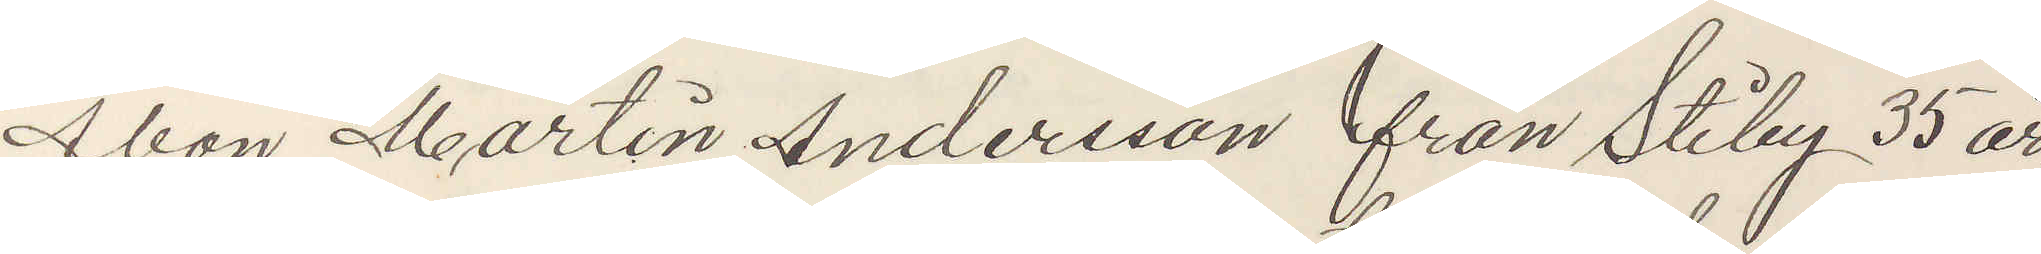Åbon Martin Andersson från Stiby 35 år,
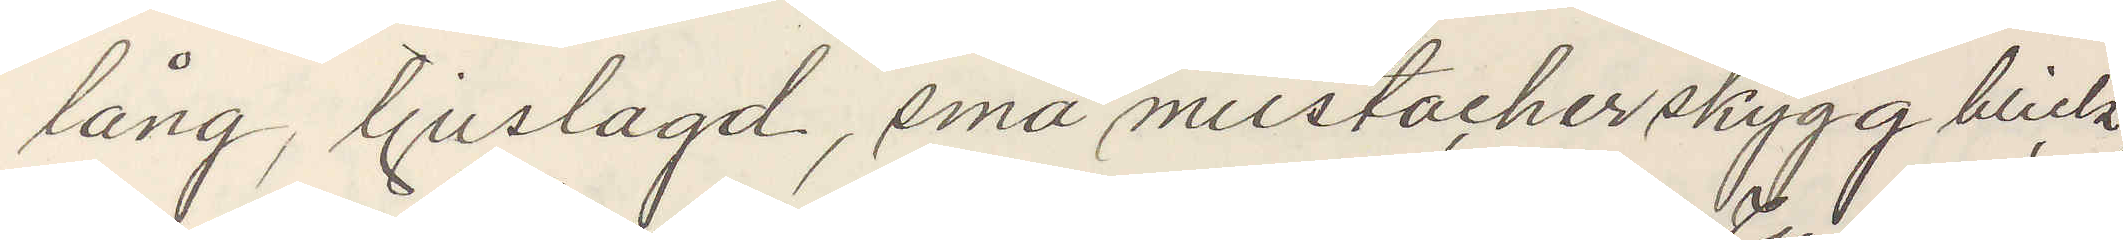lång, ljuslagd, små mustacher skygg blick,
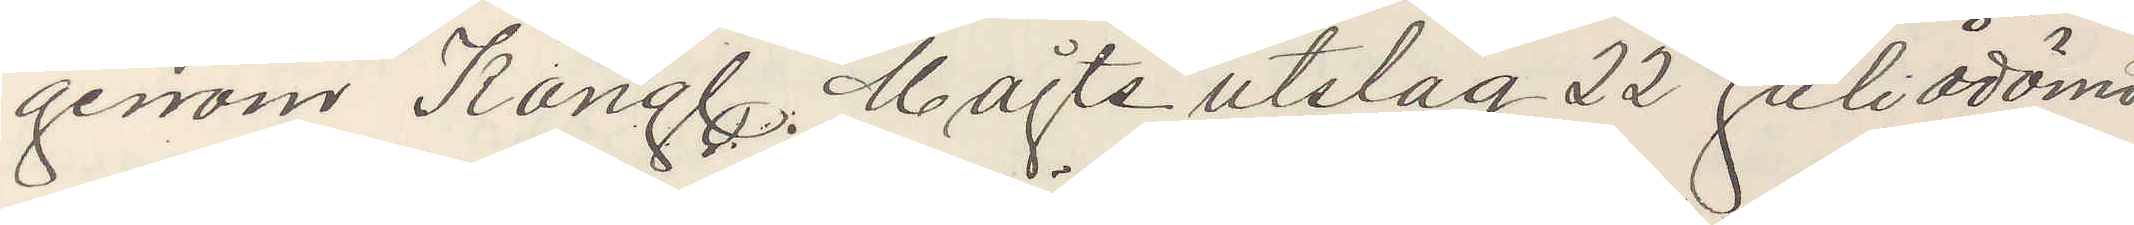genom Kungl. Majts utslag 22 Juli ådömd
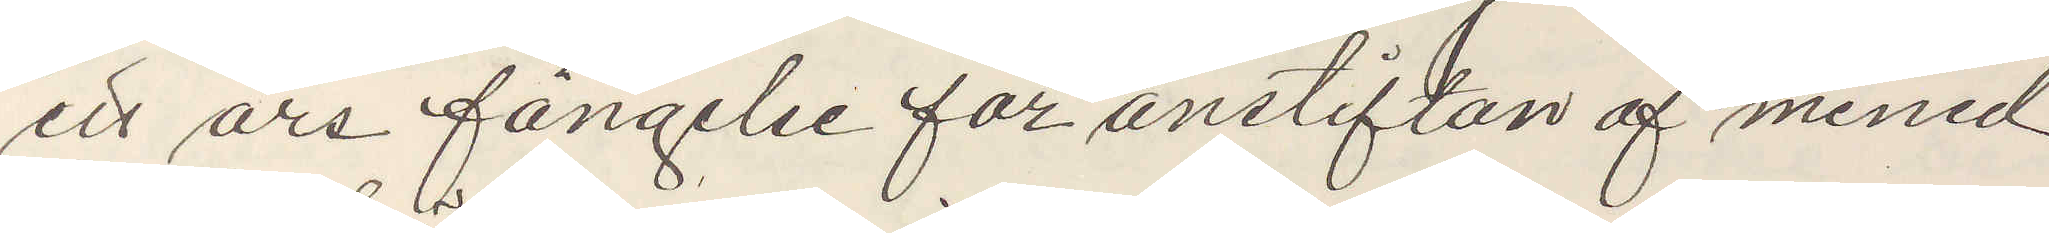ett års fängelse för anstiftan af mened
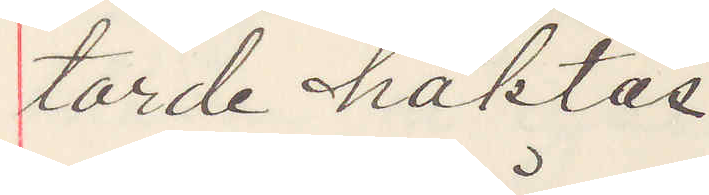torde häktas.
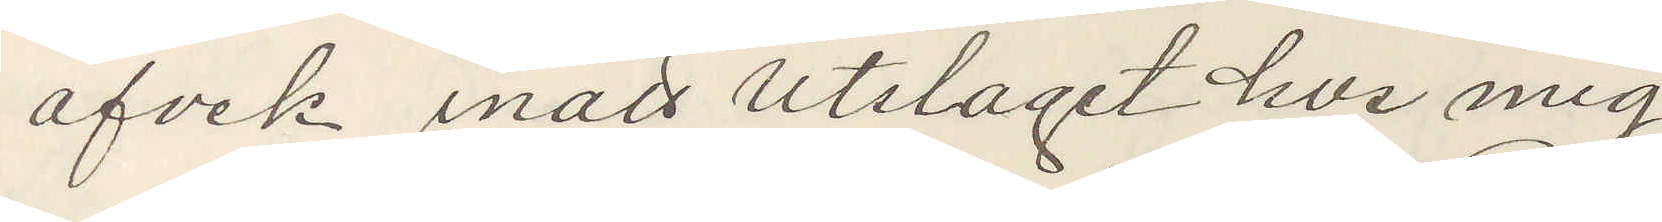afvek inatt Utslaget hos mig
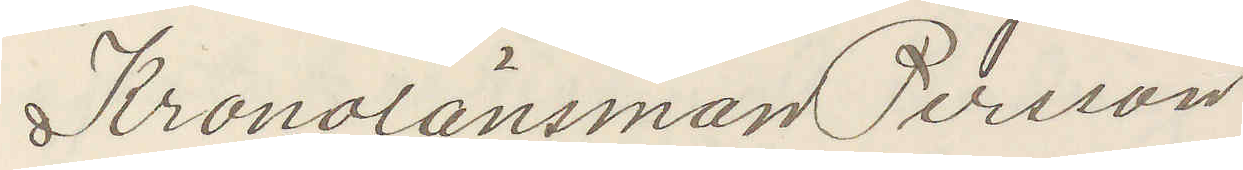Kronolänsman Persson
